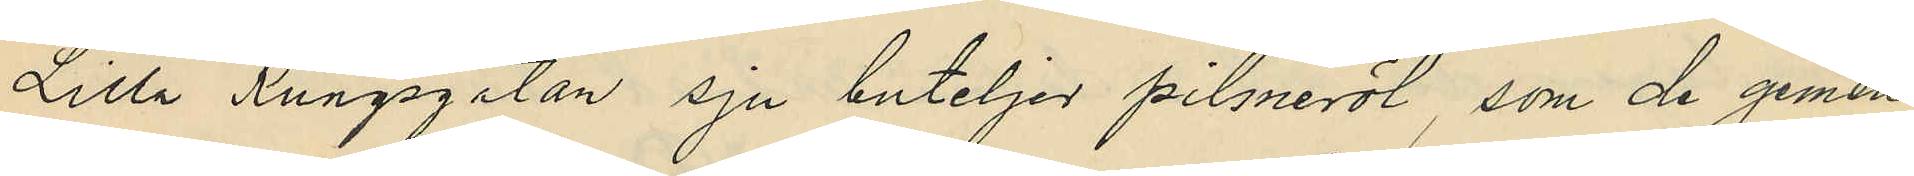Lilla Kungsgatan sju buteljer pilsneröl, som de gemen¬
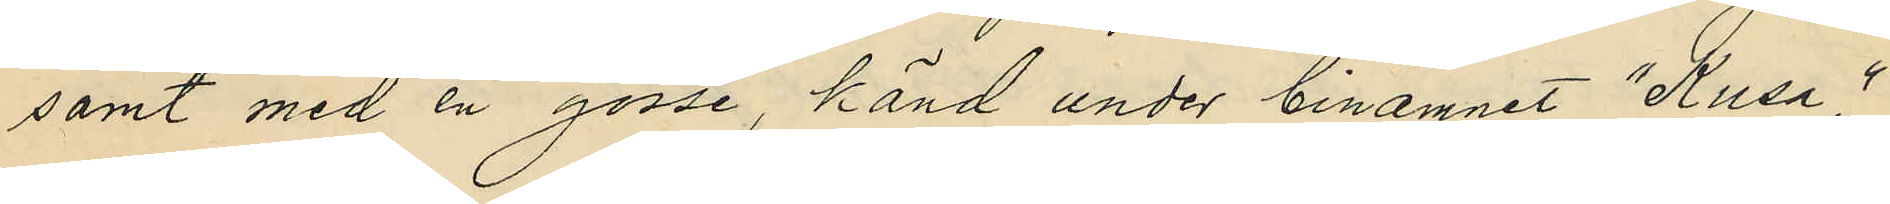samt med en gosse, känd under binamnet "Kusa,"
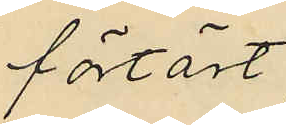förtärt;
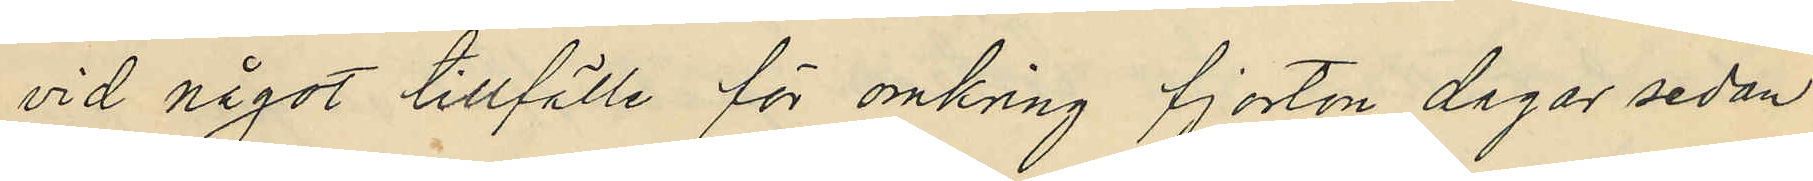vid något tillfälle för omkring fjorton dagar sedan
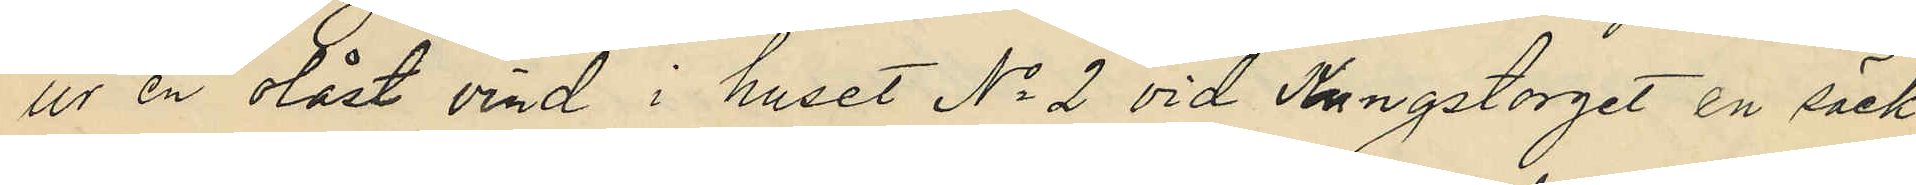ur en olåst vind i huset No 2 vid Kungstorget en säck,
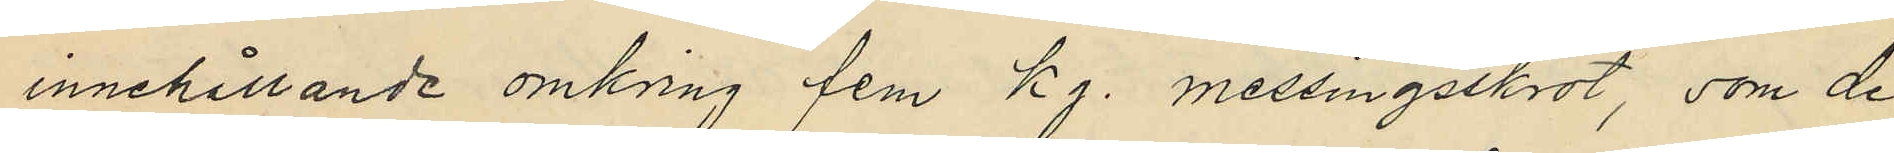innehållande omkring fem kg. messingsskrot, som de
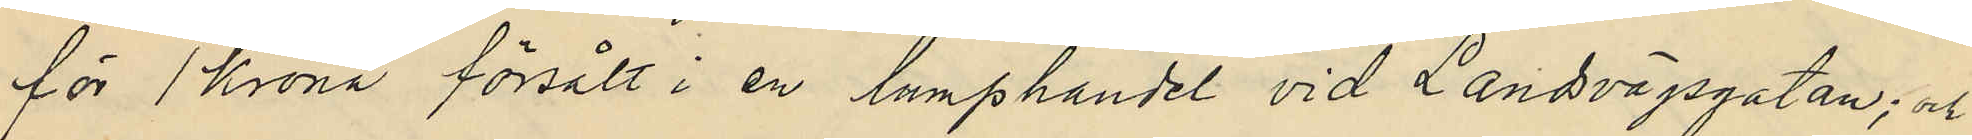för 1 krona försålt i en lumphandel vid Landsvägsgatan; och
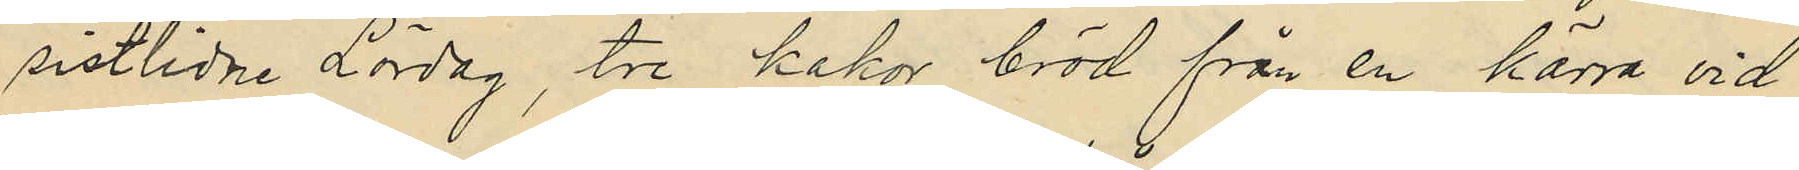sistlidne Lördag, tre kakor bröd från en kärra vid
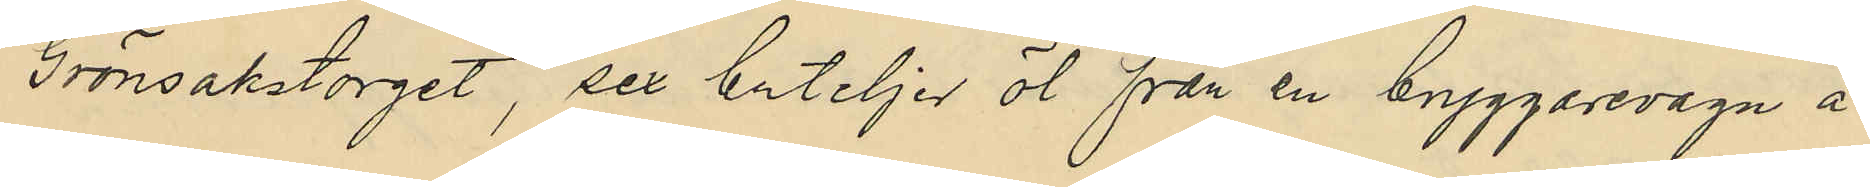Grönsakstorget, sex buteljer öl från en bryggarevagn å
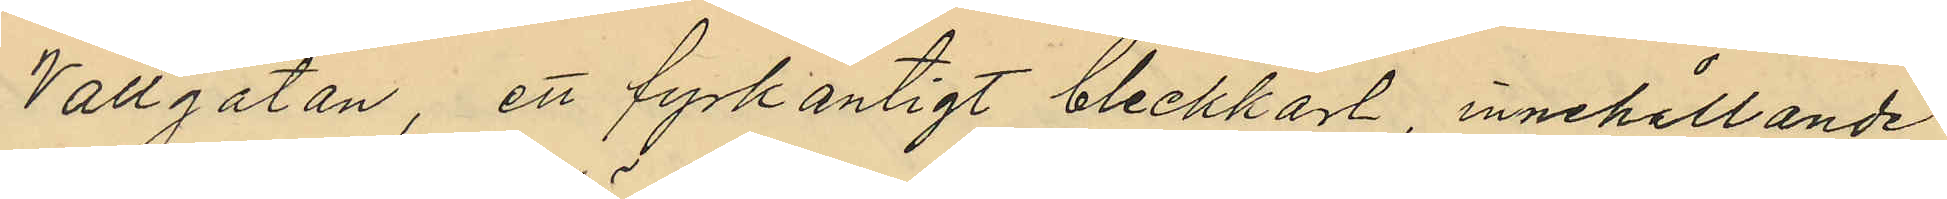Vallgatan, ett fyrkantigt bleckkärl, innehållande
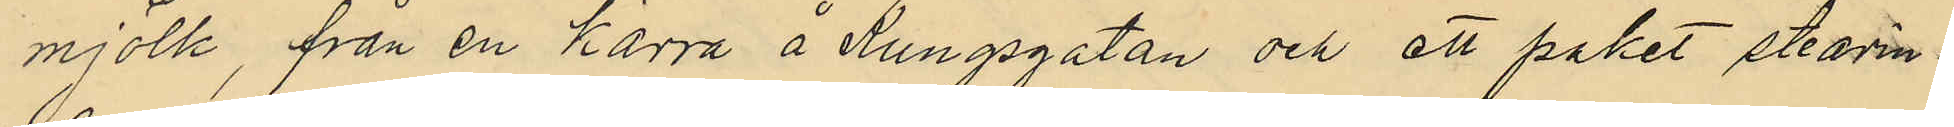mjölk, från en kärra å Kungsgatan och ett paket stearin¬
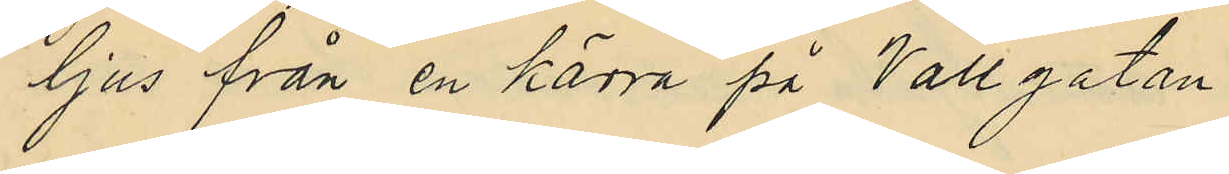ljus från en kärra på Vallgatan.
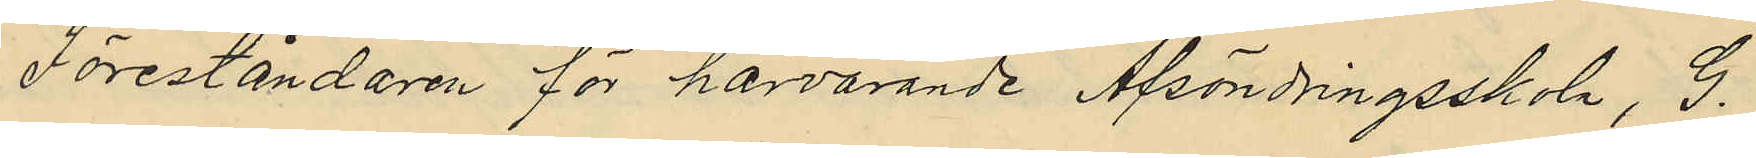Föreståndaren för härvarande Afsöndringsskola, G.
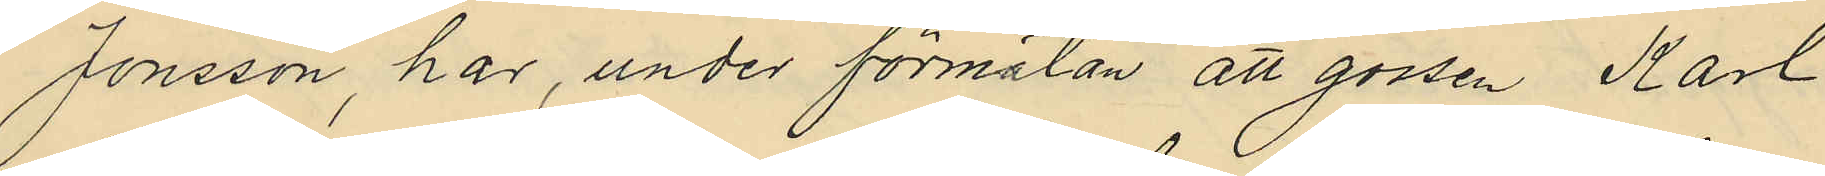Jonsson, har, under förmälan att gossen Karl
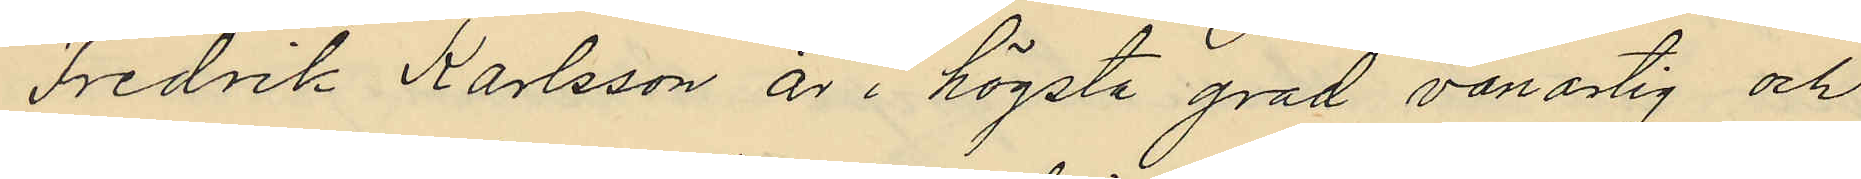Fredrik Karlsson är i högsta grad vanartig och
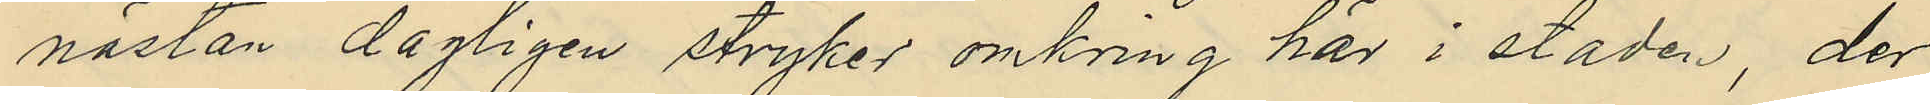nästan dagligen stryker omkring här i staden, der
